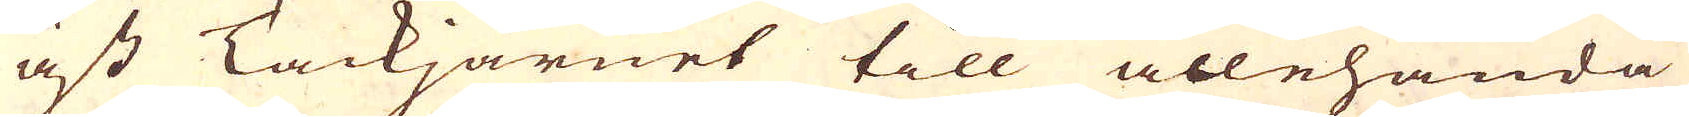äst Tackjärnet till allehanda
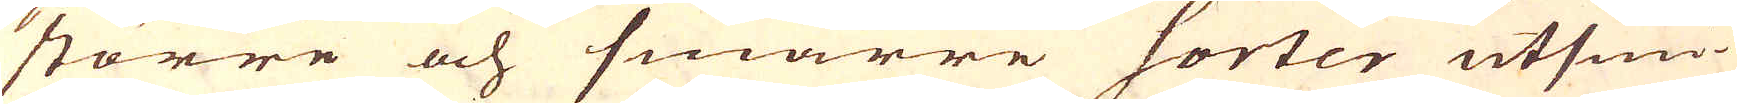större och smärre sorter utsmi-
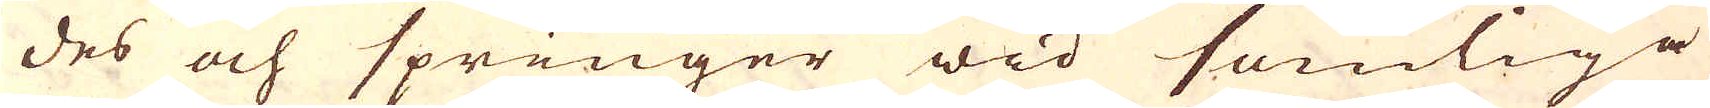des och springer wid somliga
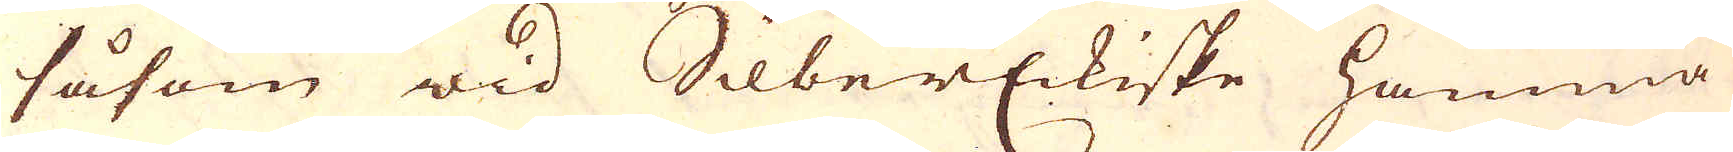såsom wid SilberEckiske hamma
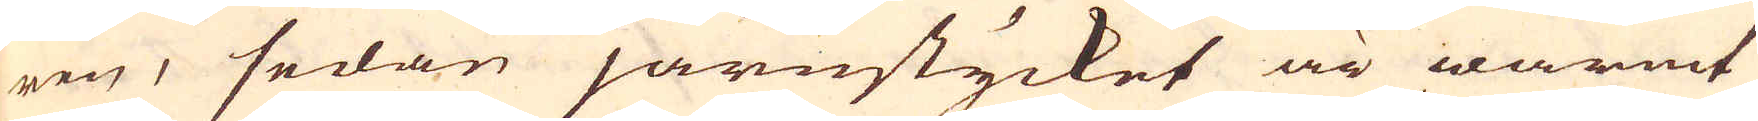ren, sedan järnstycket är warmt
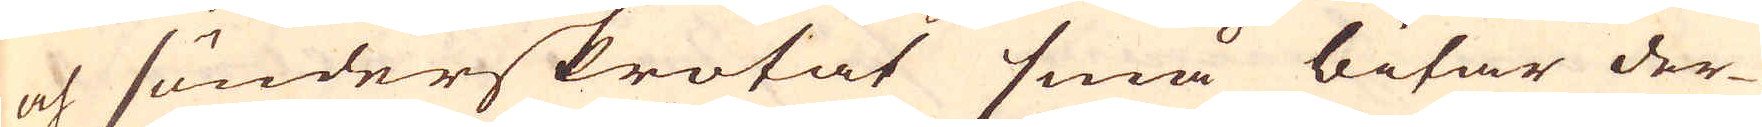och sönderskrotat små bitar der-
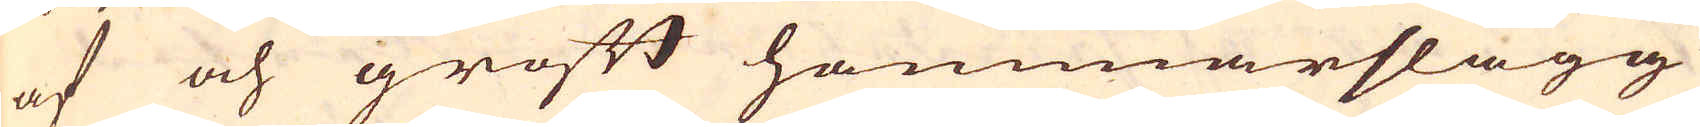af och groft hammarslagg
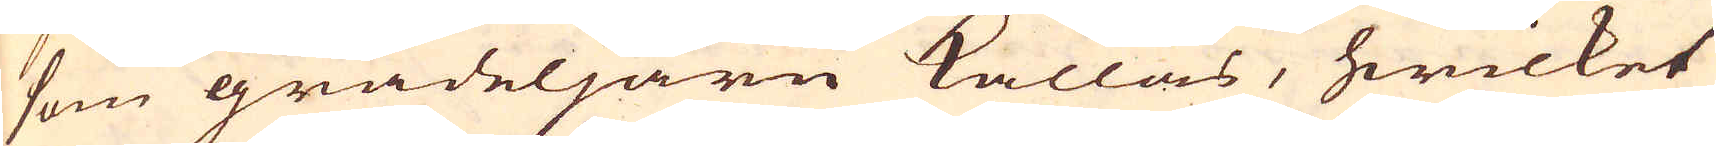som grädeljärn kallas, hwilket
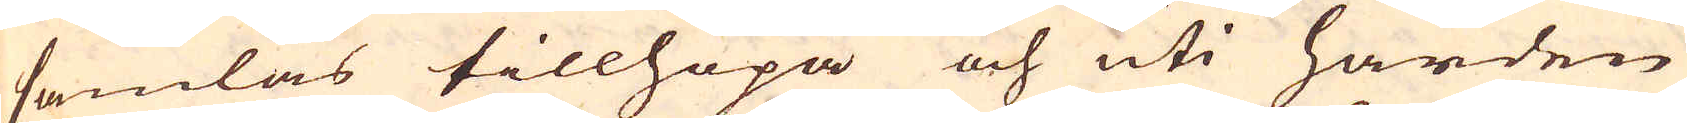samlas tillhopa och uti härden
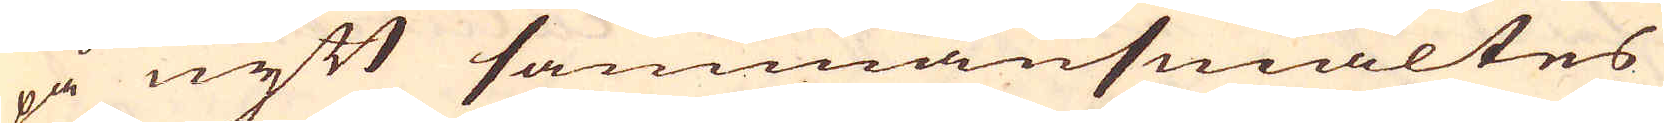på nytt sammansmältes
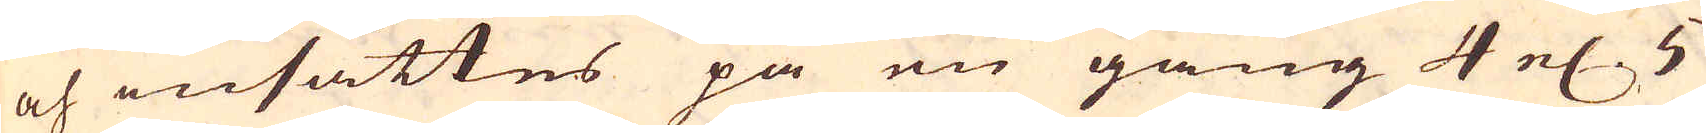och insättes på en gång 4 el:r 5
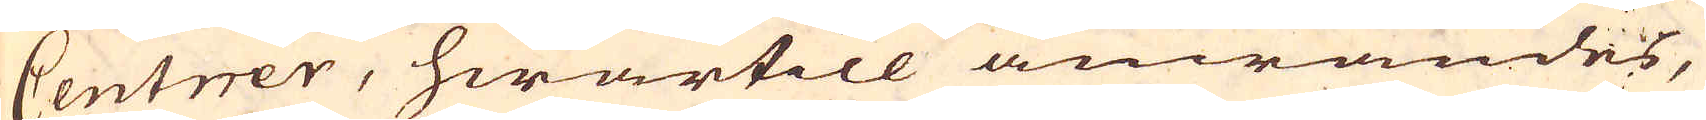Centrer, hwartill anwändes,
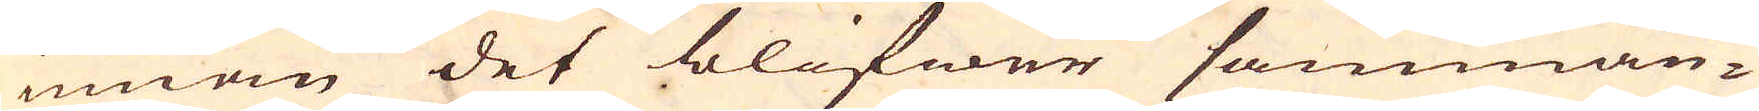innan det blifwer samman-
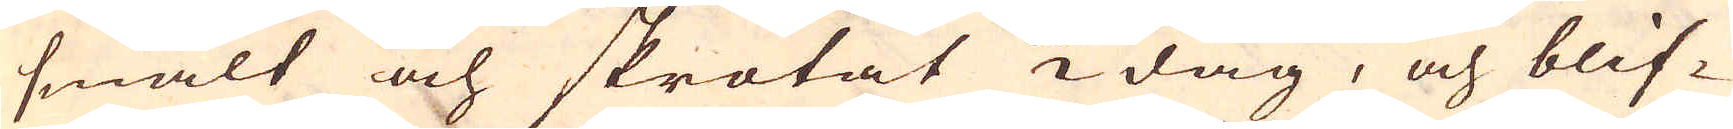smält och skrotat 1/2 dag, och blif-
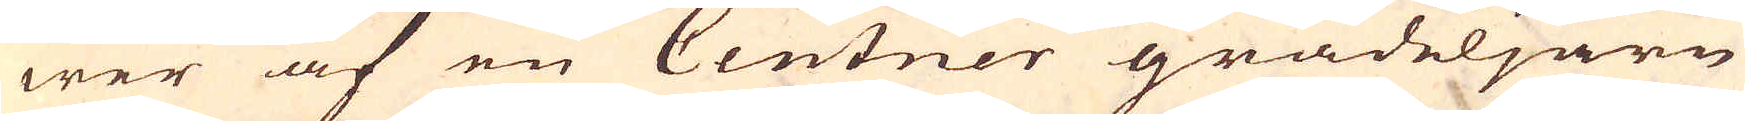wer af en Centner grädeljärn
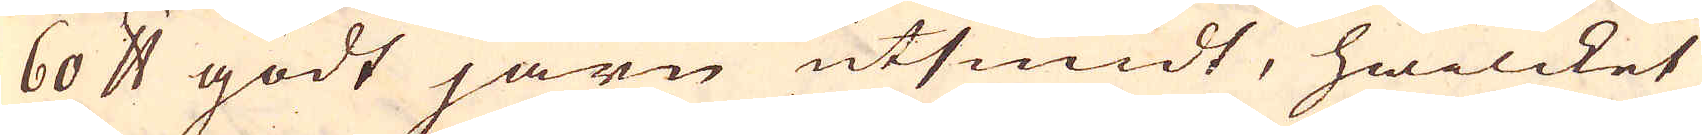60 skålpund godt järn utsmidt, hwilcket
